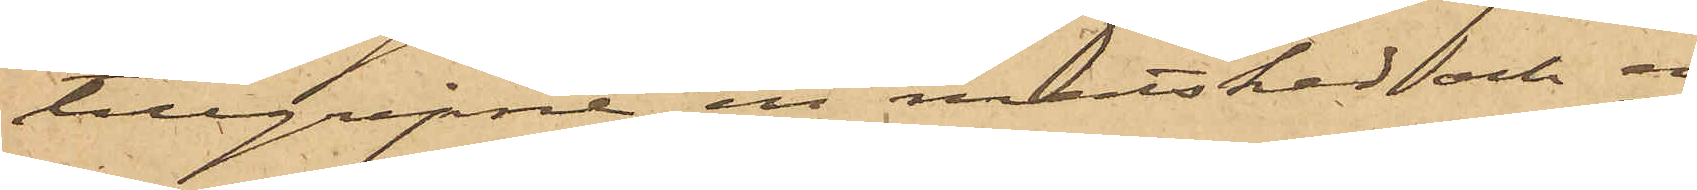tillgripne en matsked och en
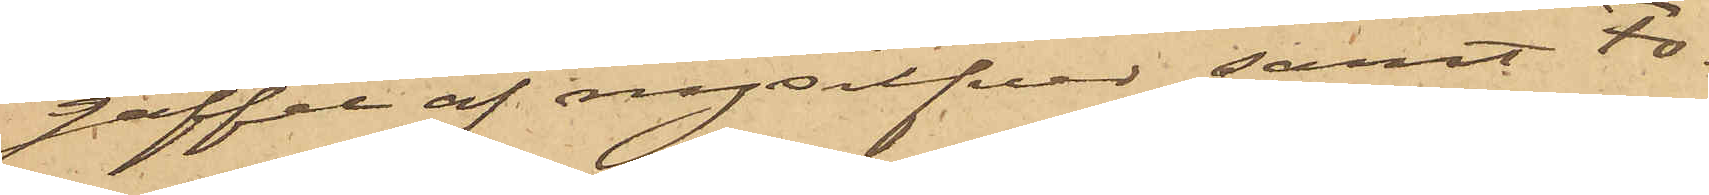gaffel af nysilfver samt Fo¬
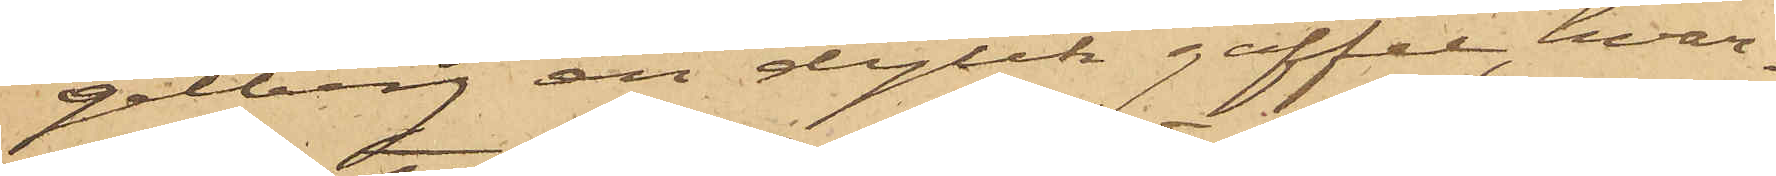gelberg en dylik gaffel, hvar¬
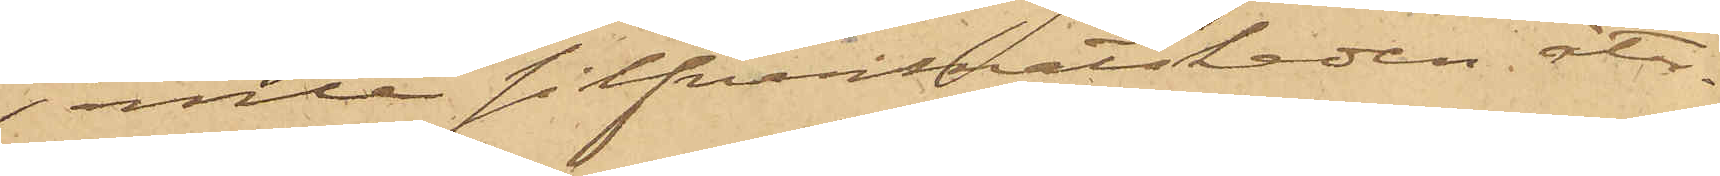jemte silfvermatskeden åter¬
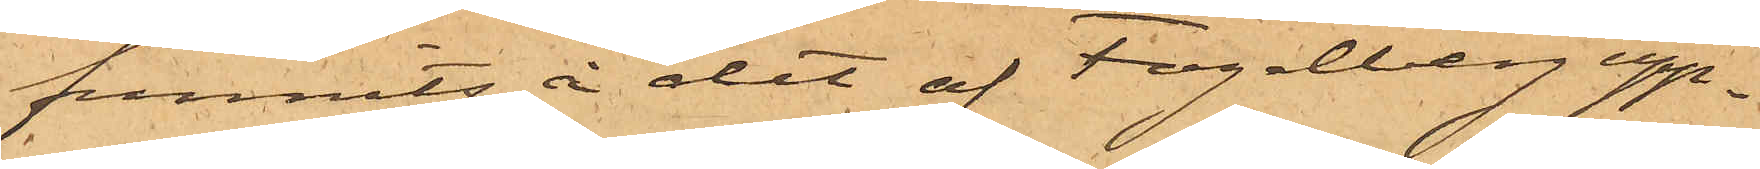funnits å det af Fogelberg upp¬
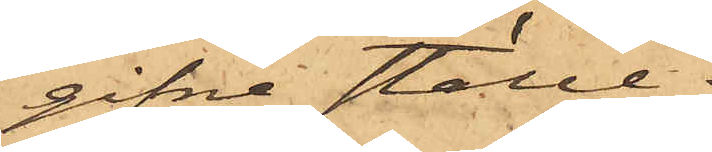gifne ställe.
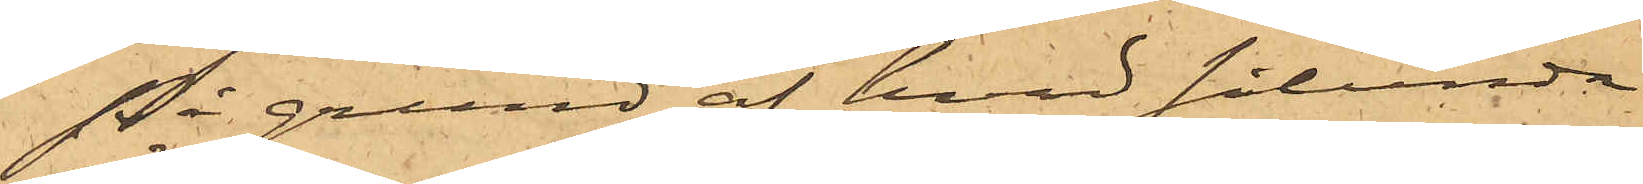På grund af hvad sålunda
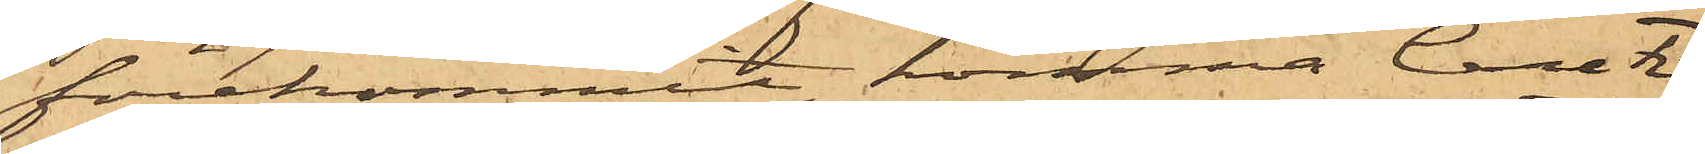förekommit, komma Carl Fi¬
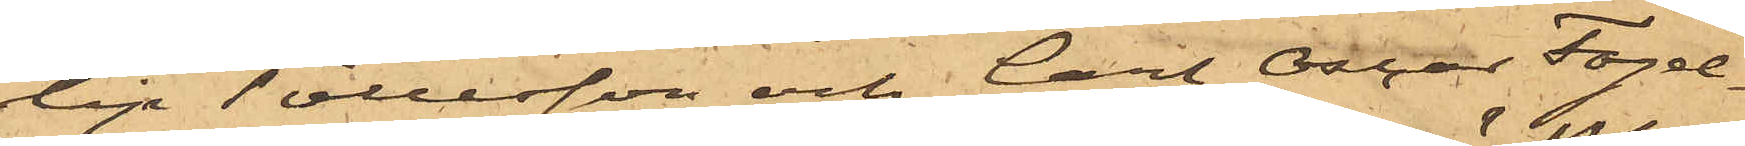lip Tollesson och Carl Oscar Fogel¬
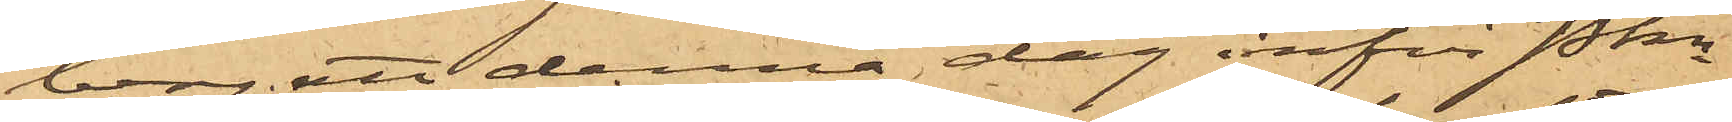berg att denna dag inför Pkn
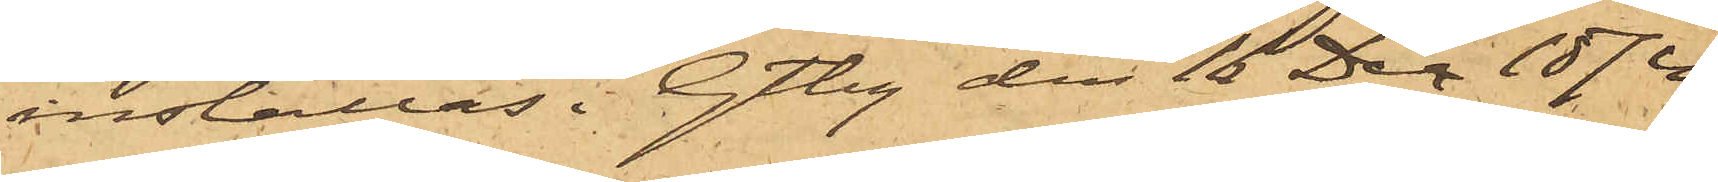inställas. Gtbg den 16 Dec 1874.
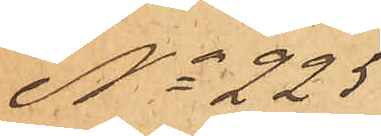No 225
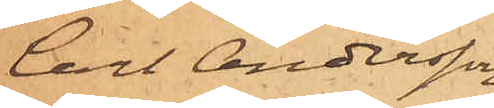Carl Andersson
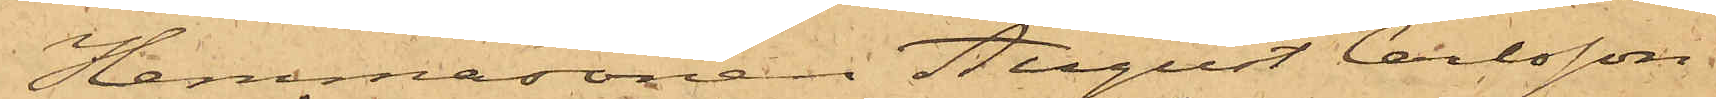Hemmasonen August Carlsson
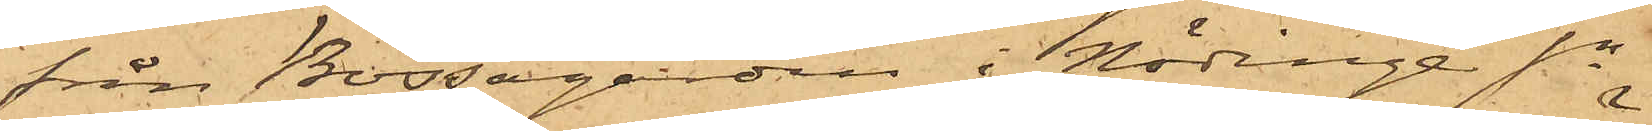från Börsagården i Nödinge sn
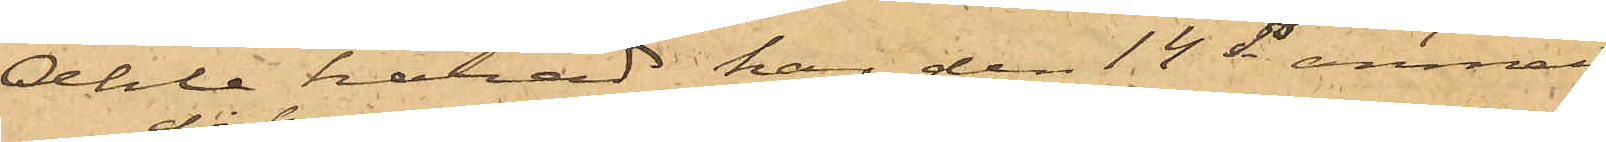Ahle härad har den 14 ds anmält
